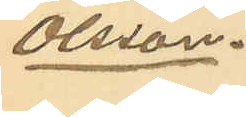Olsson.
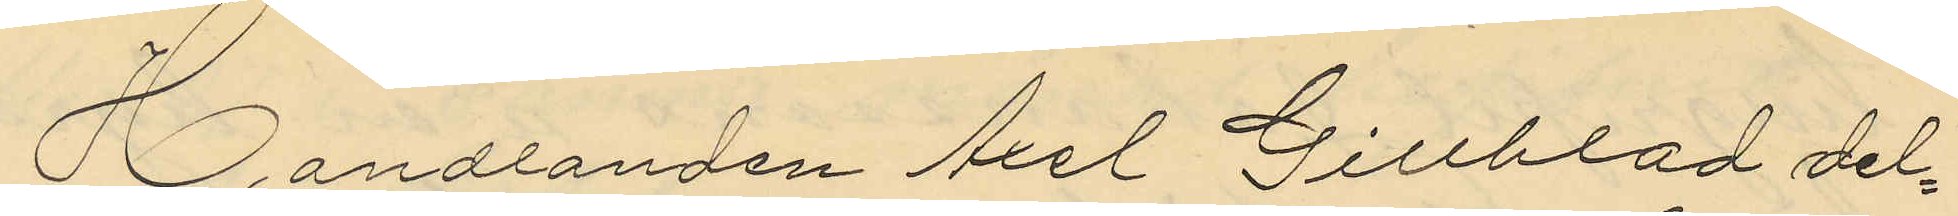Handlanden Axel Gillblad del¬
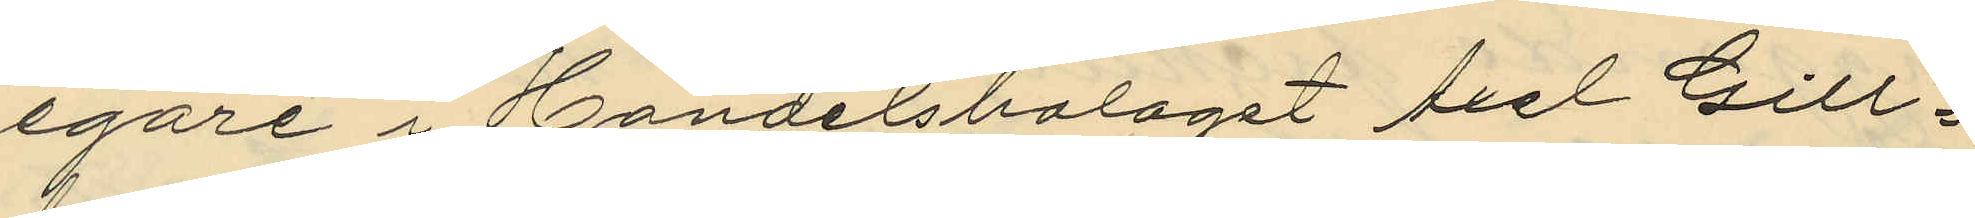egare i Handelsbolaget Axel Gill¬
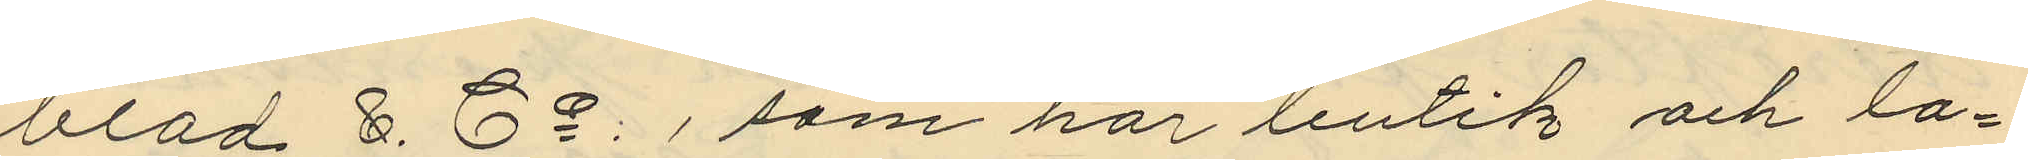blad & Co, som har butik och la¬
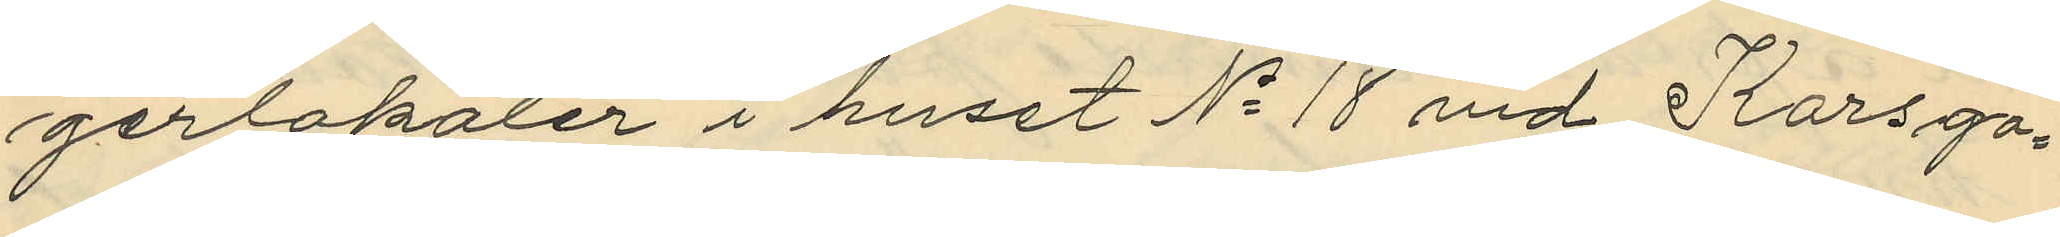gerlokaler i huset No 18 vid Korsga¬
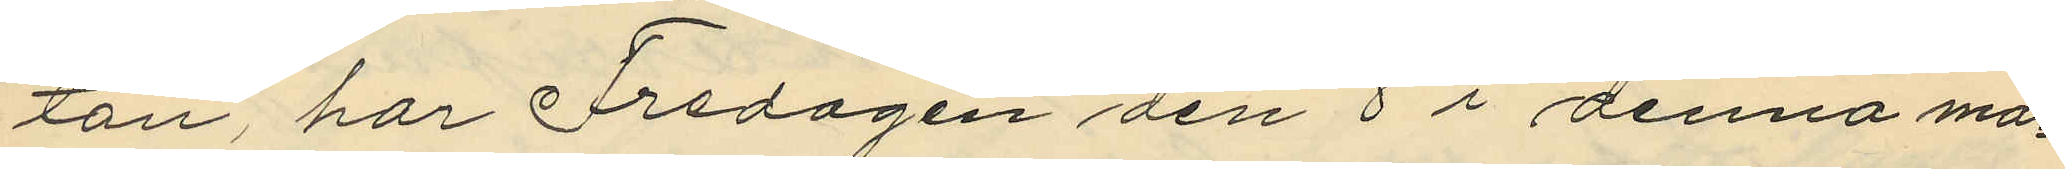tan, har Fredagen den 8 i denna må¬
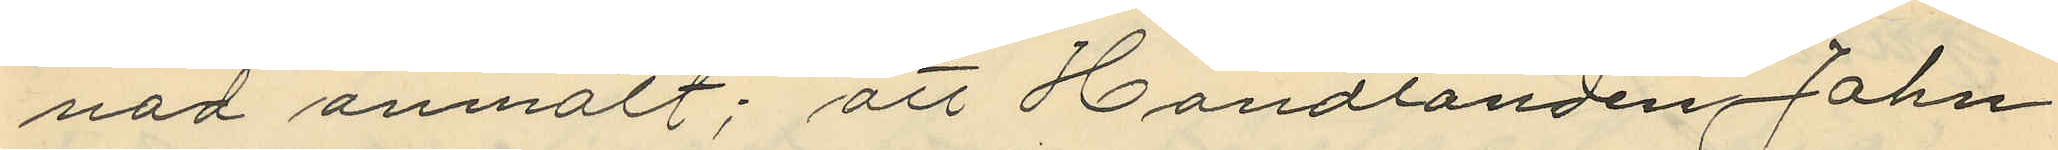nad anmält; att Handlanden John
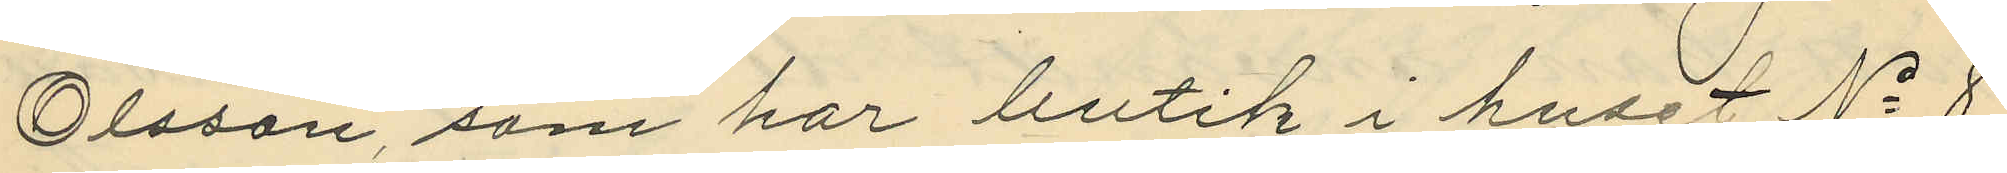Olsson, som har butik i huset No 8
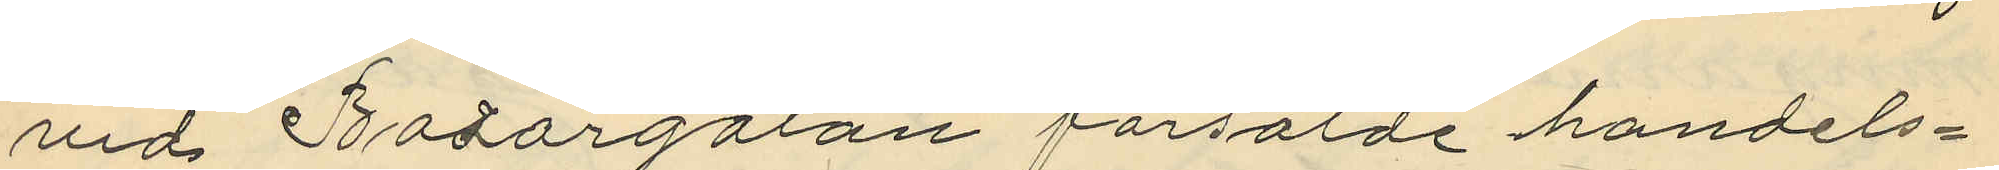vid Bodargatan försålde handels¬
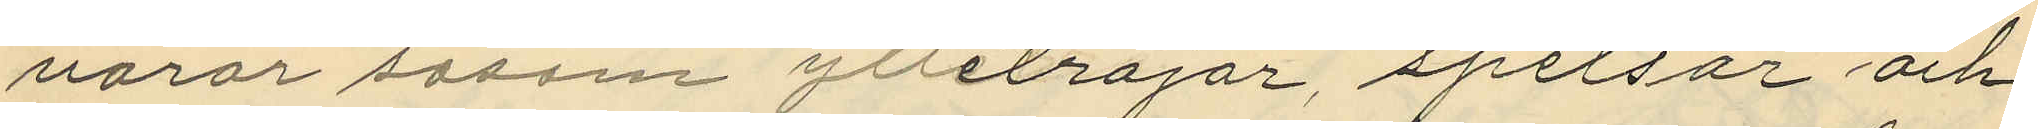varor såsom ylletröjor, spetsar och
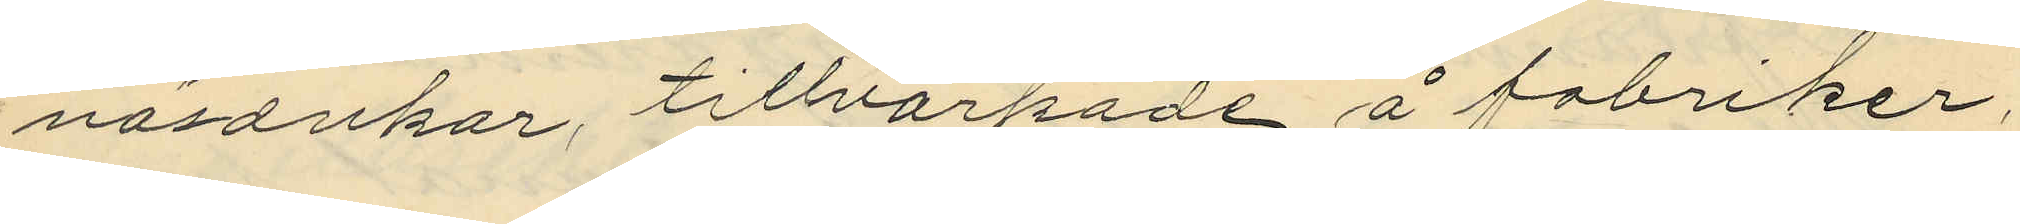näsdukar, tillvarkade å fabriker,
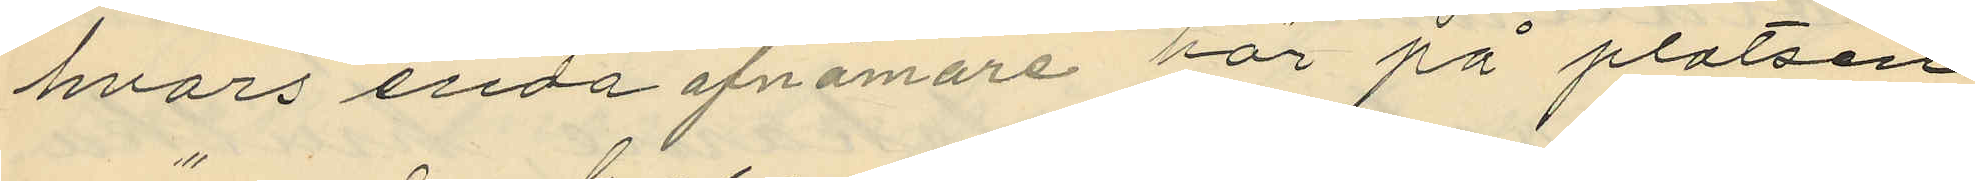hvars enda afnämare här på platsen
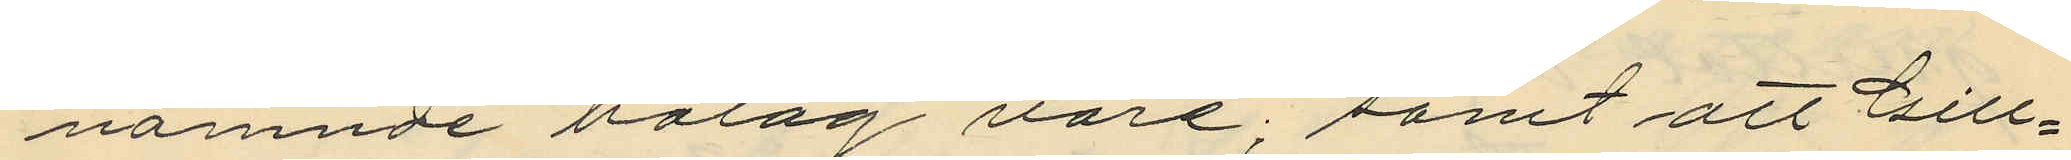nämnde bolag vare; samt att Gill¬
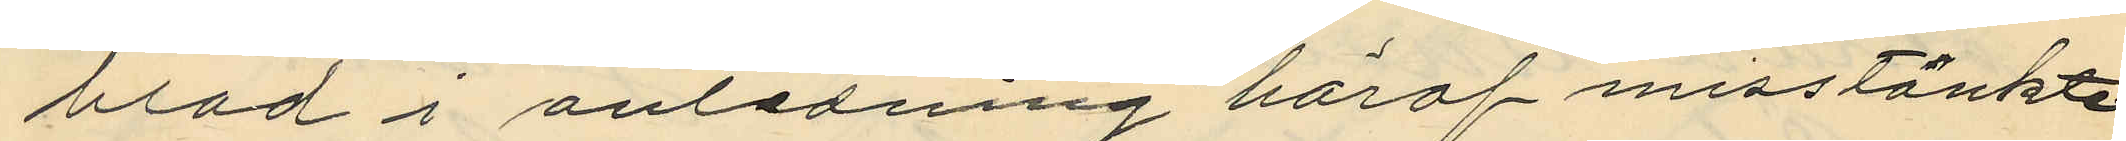blad i anledning häraf misstänkte
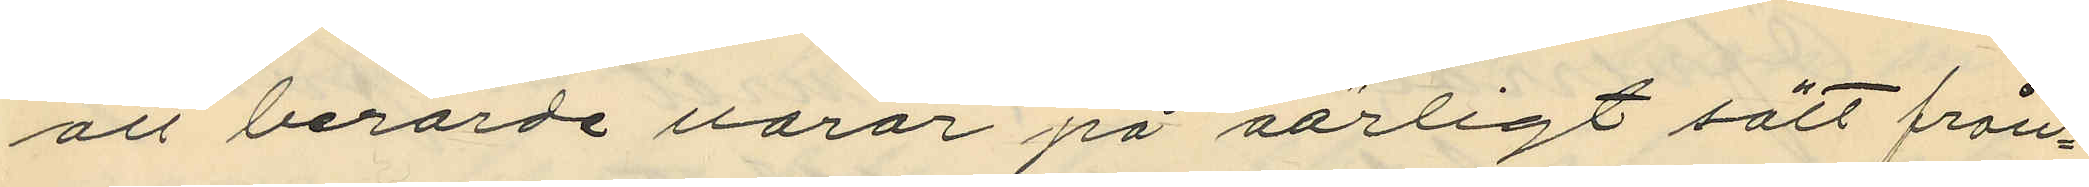att berörde varor på oärligt sätt från¬
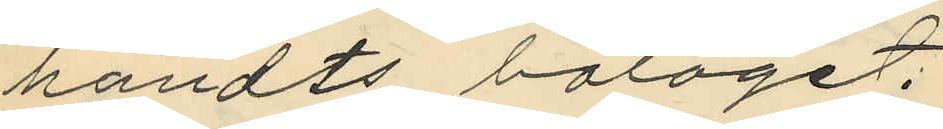händts bolaget;
